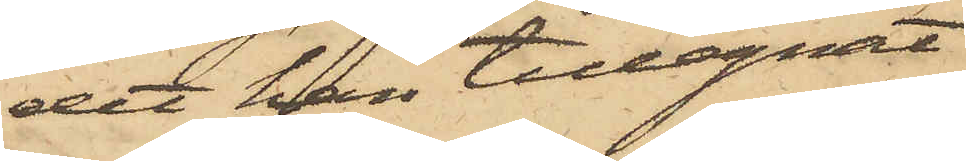det han tillegnat
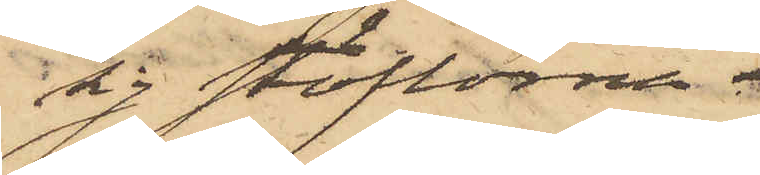sig stöflorna.
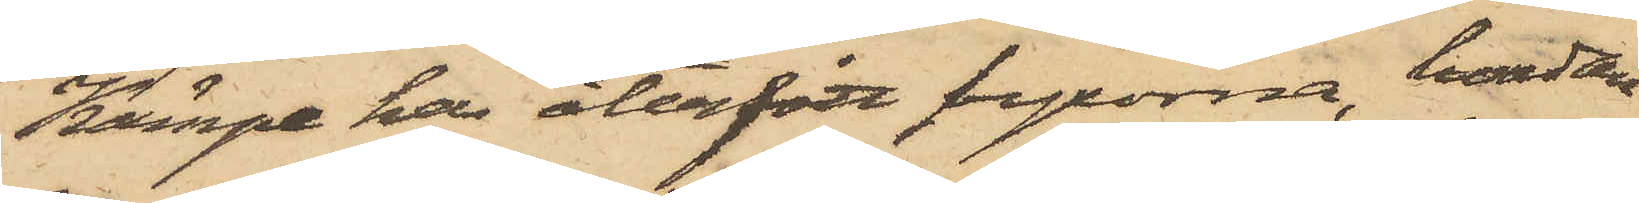Kämpe har återfått byxorna, hvadan
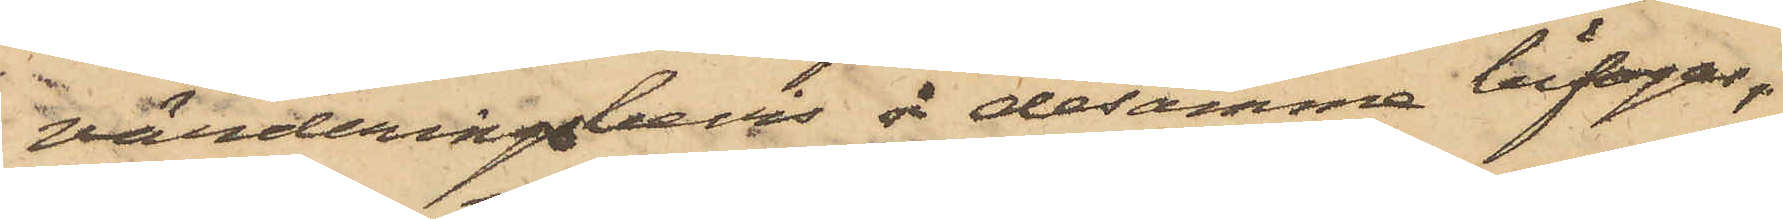värderingsbevis å desamma bifogas,
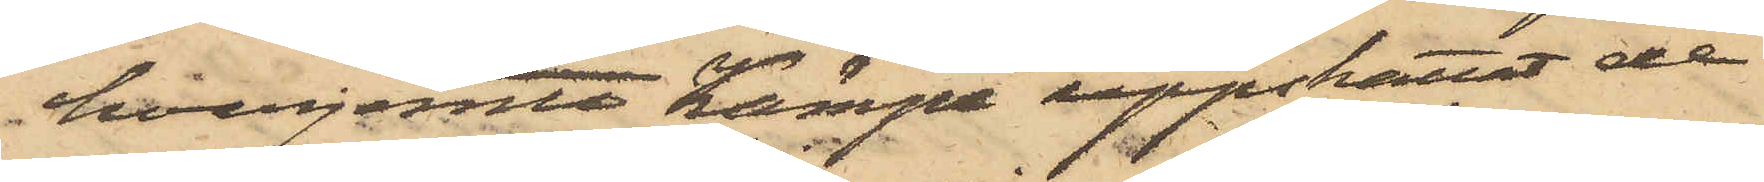hvarjemte Kämpe uppskattat de
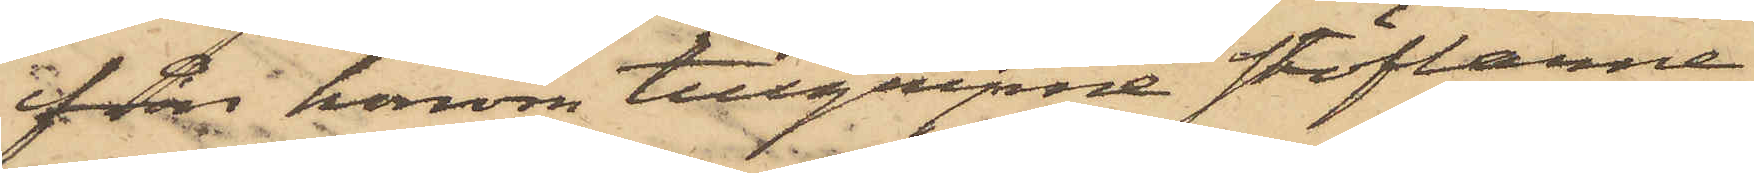från honom tillgripne stöflarne
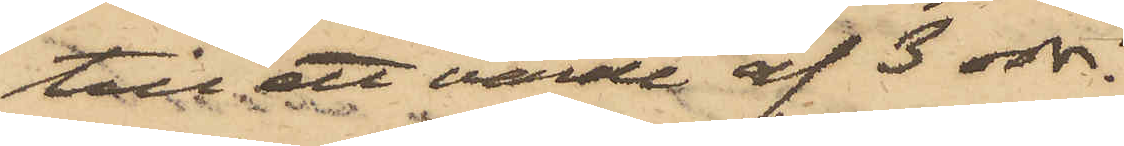till ett värde af 3 rdr.
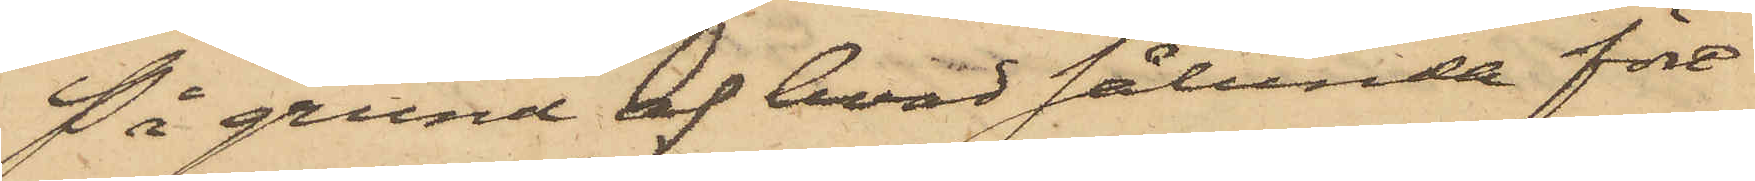På grund af hvad sålunda före¬
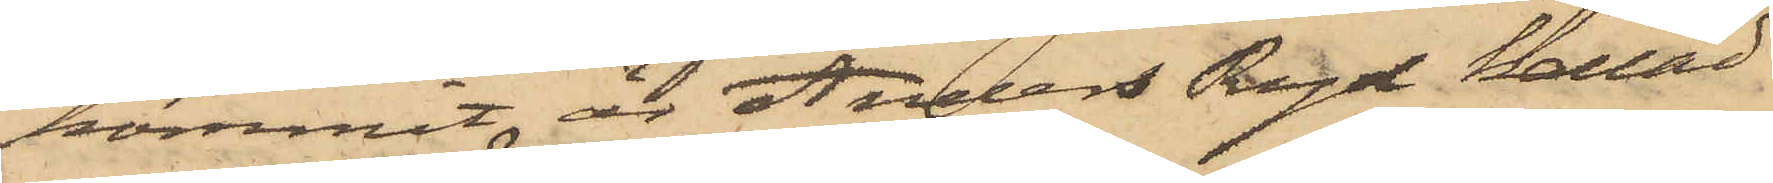kommit är Anders Ryd kallad
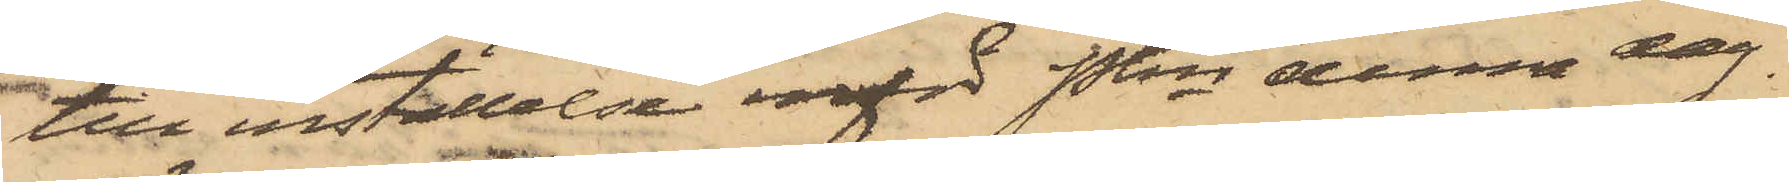till inställelse inför Pkn denna dag.
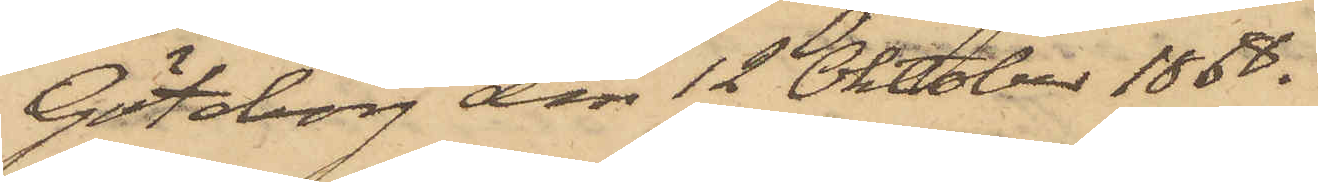Göteborg den 12 Oktober 1868.
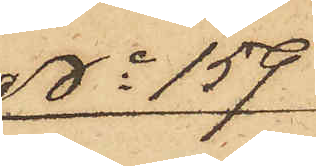No 159
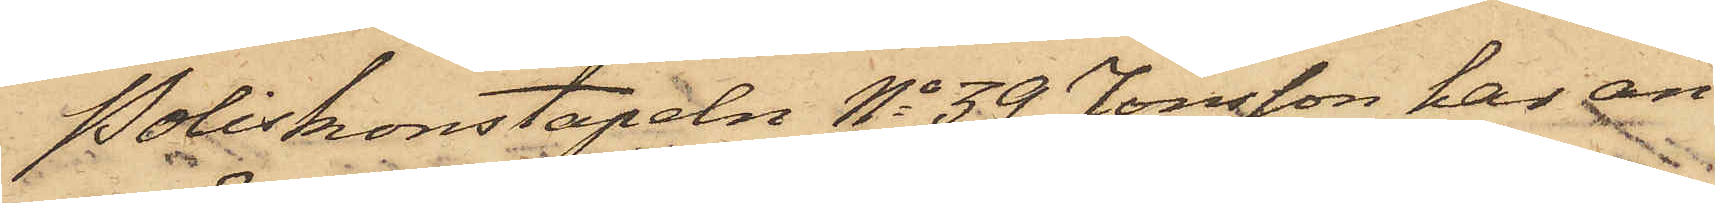Poliskonstapeln No 39 Jonsson har an¬
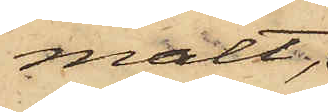mält,
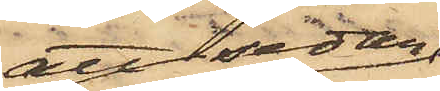att sedan
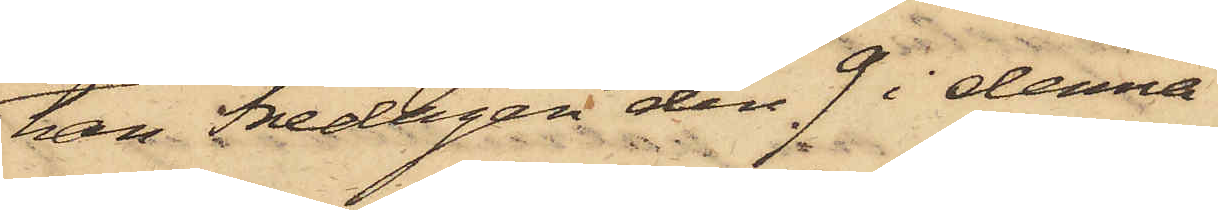han Fredagen den 9 i denna
